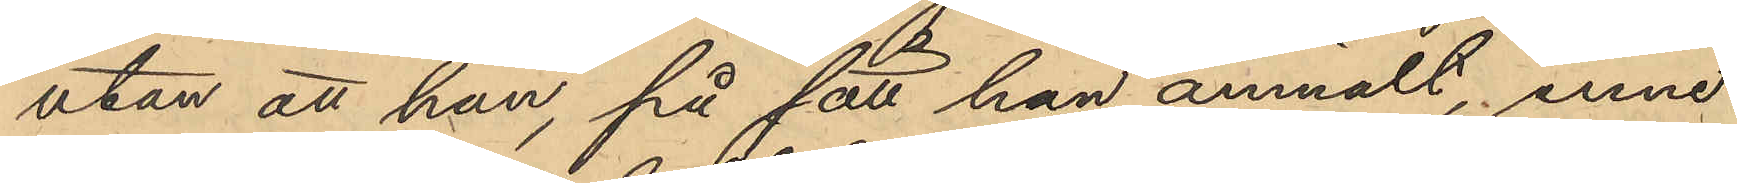utan att han, på sätt han anmält, inne¬
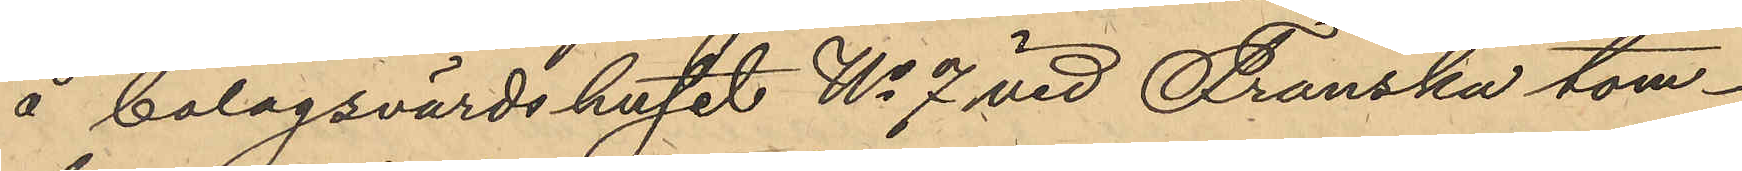å bolagsvärdshuset No 7 vid Franska tom¬
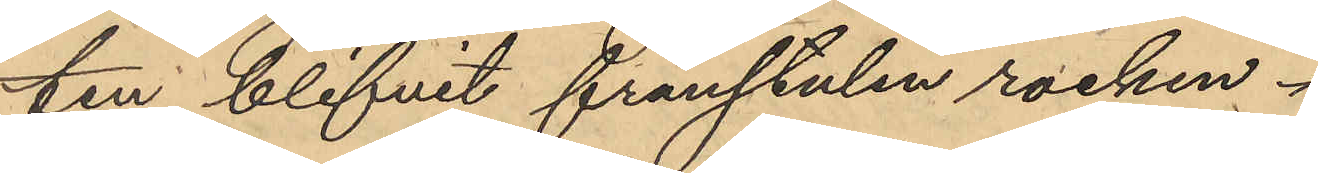ten blifvit frånstulen rocken.
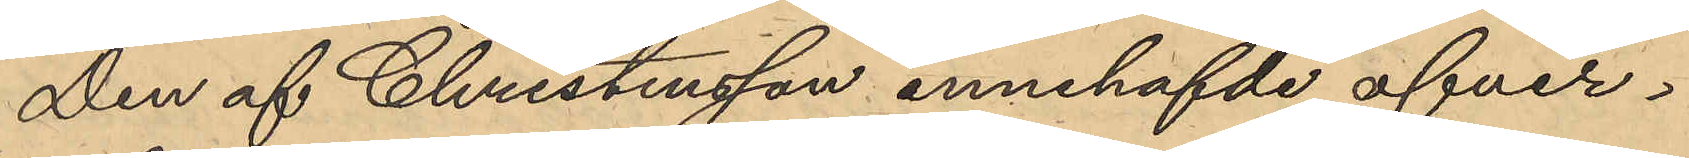Den af Christensson innehafvde öfver¬
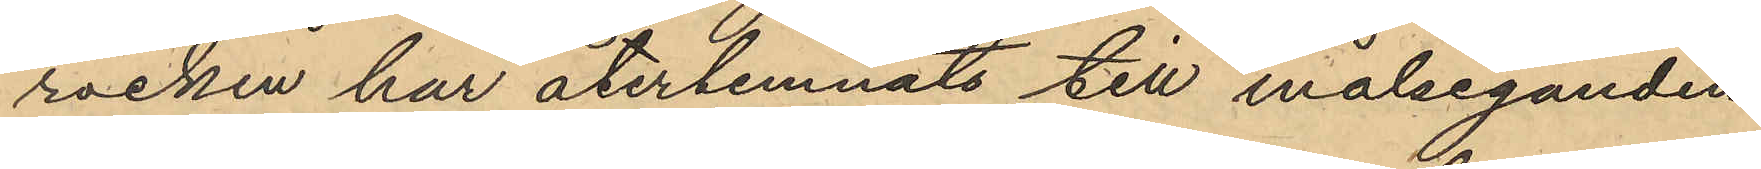rocken har återlemnats till målseganden,
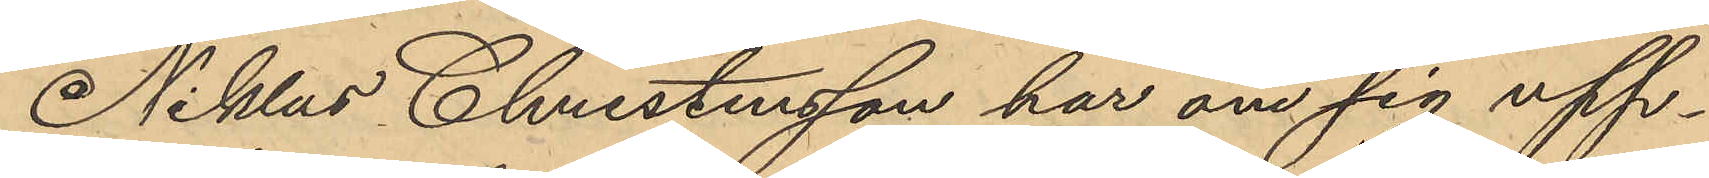Niklas Christensson har om sig upp¬
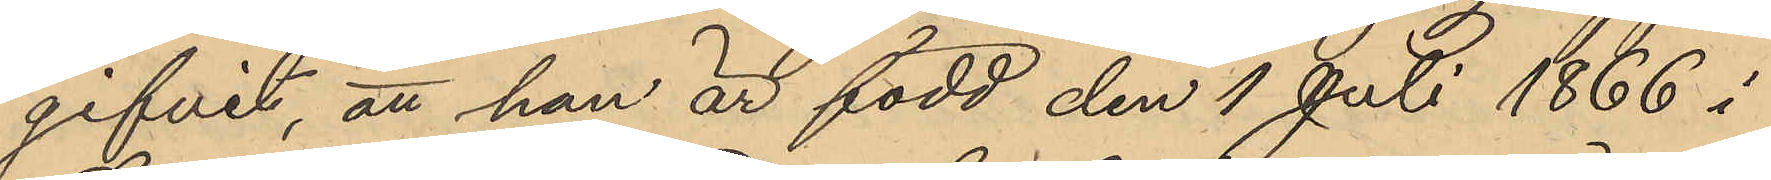gifvit, att han är född den 1 Juli 1866 i
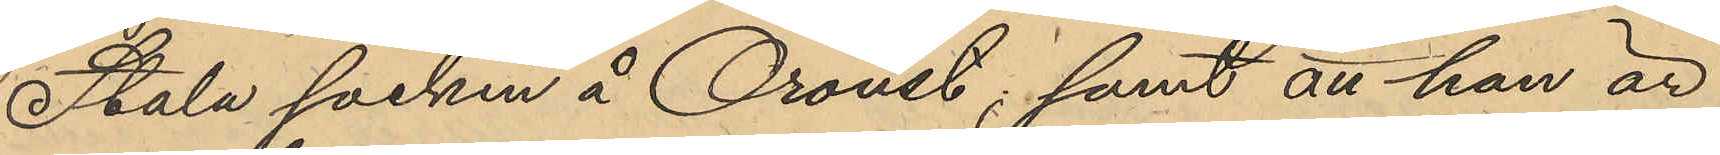Stala socken å Oroust; samt att han är
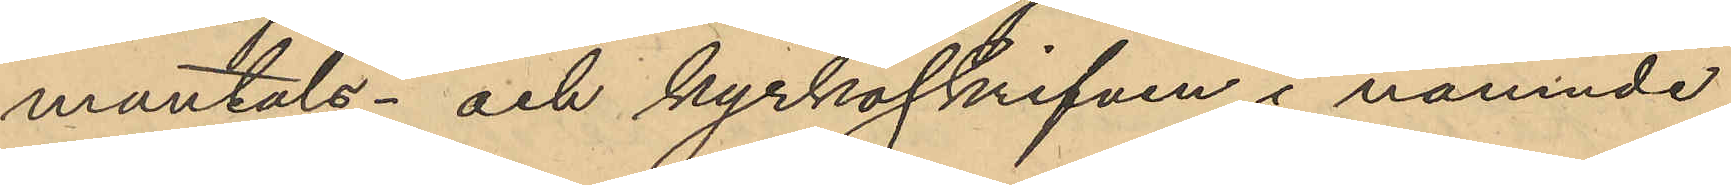mantals- och kyrkoskrifven i nämnde
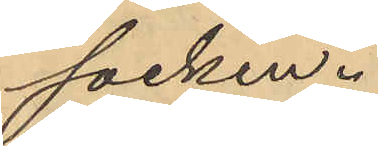socken.
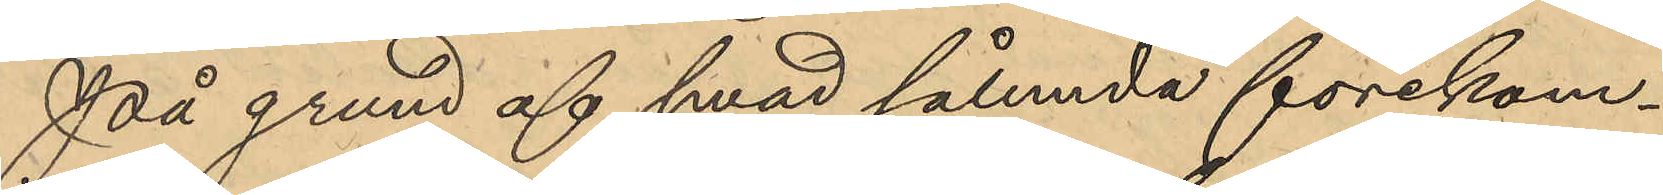På grund af hvad sålunda förekom¬
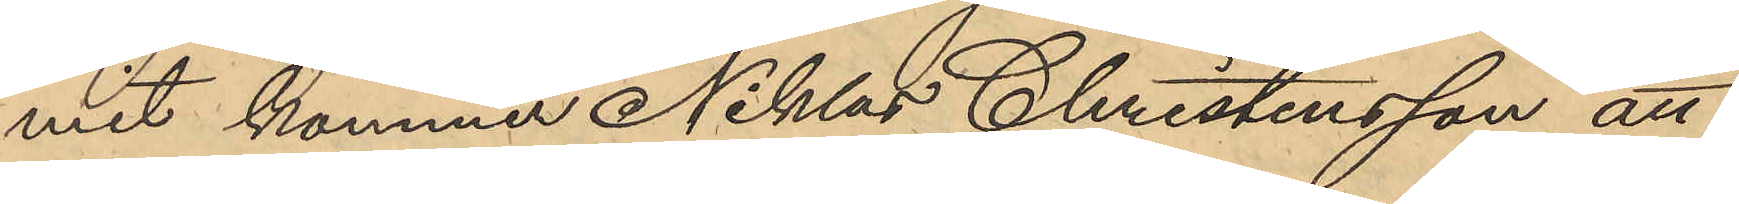mit kommer Niklas Christensson att
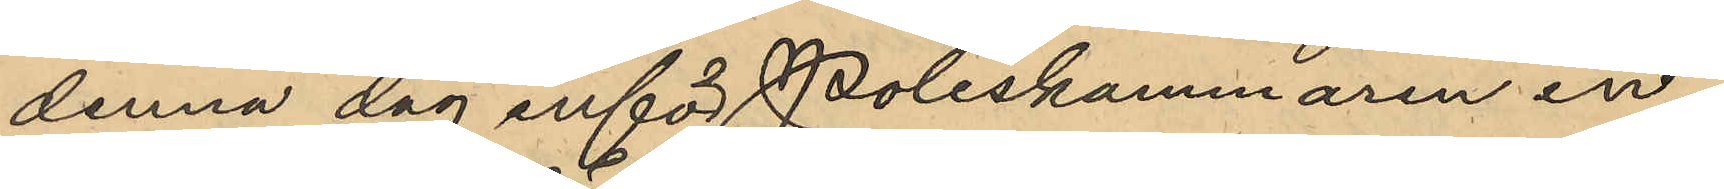denna dag inför Poliskammaren in¬
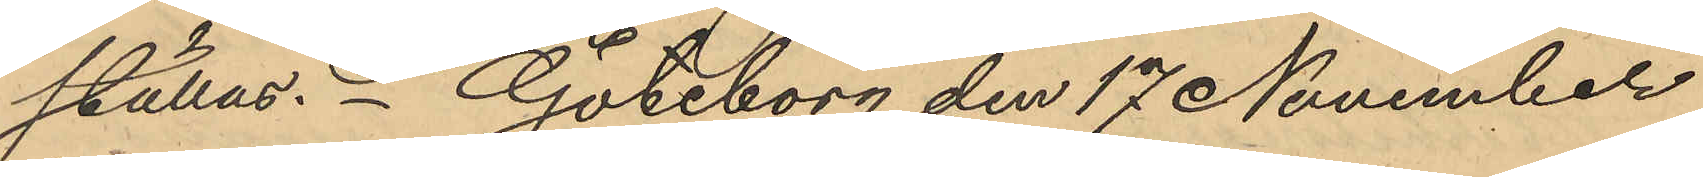ställas. Göteborg den 17 November
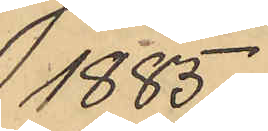1885.
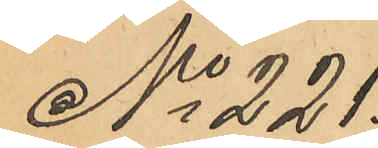No 221.
